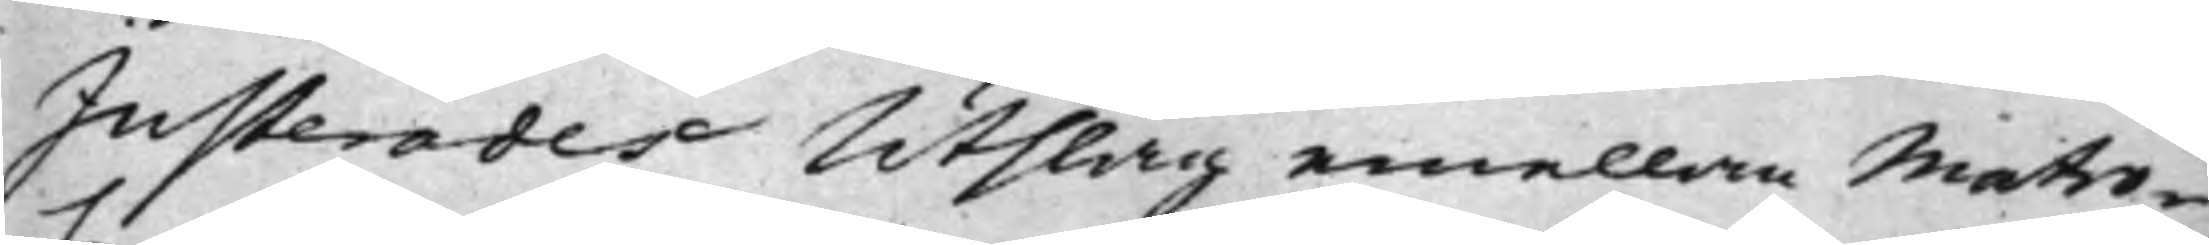Justerades Utslag emellan Matro-
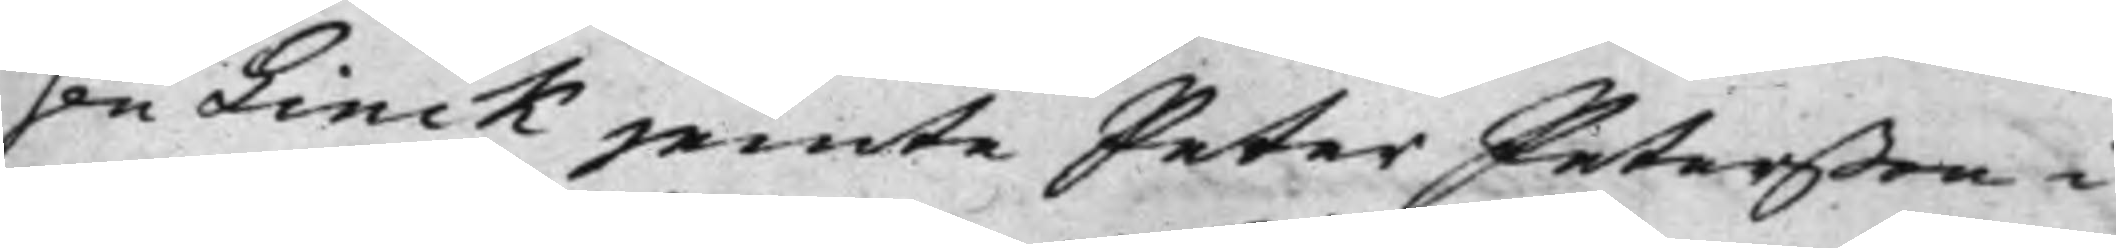sen Linck jemte Peter Peterßon i
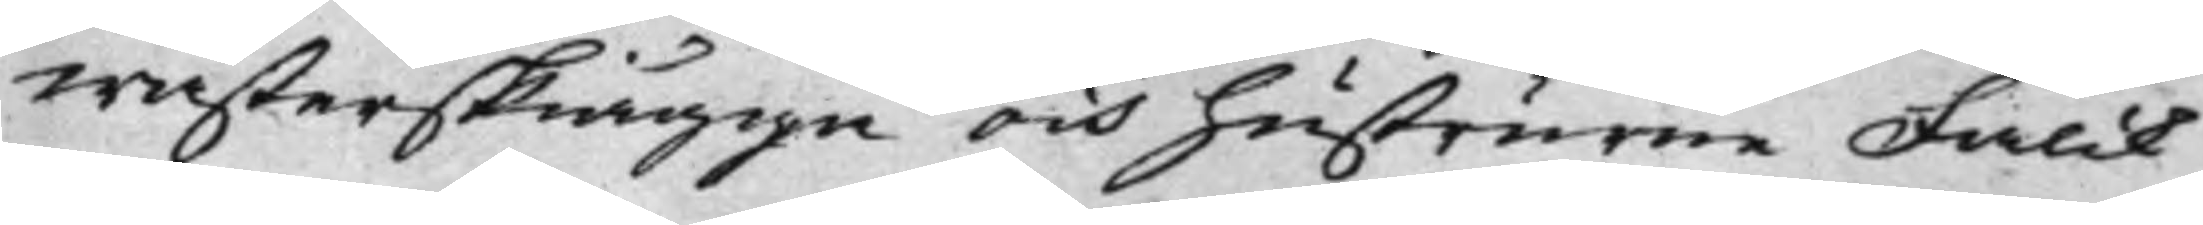wästerskiägge och hustrurne Falck
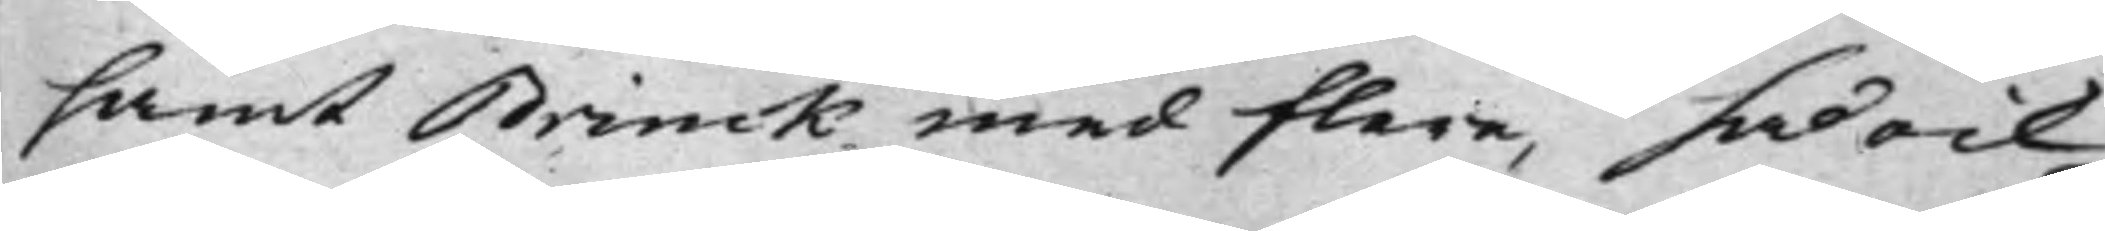samt Brinck med flere, så ock
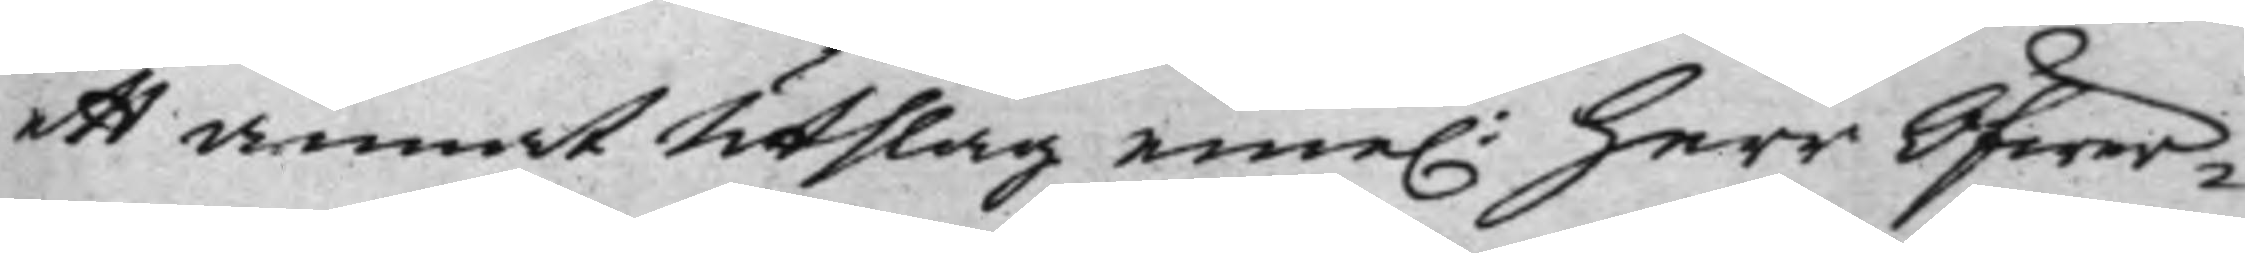ett annat Utslag eme. Herr Öfwer¬
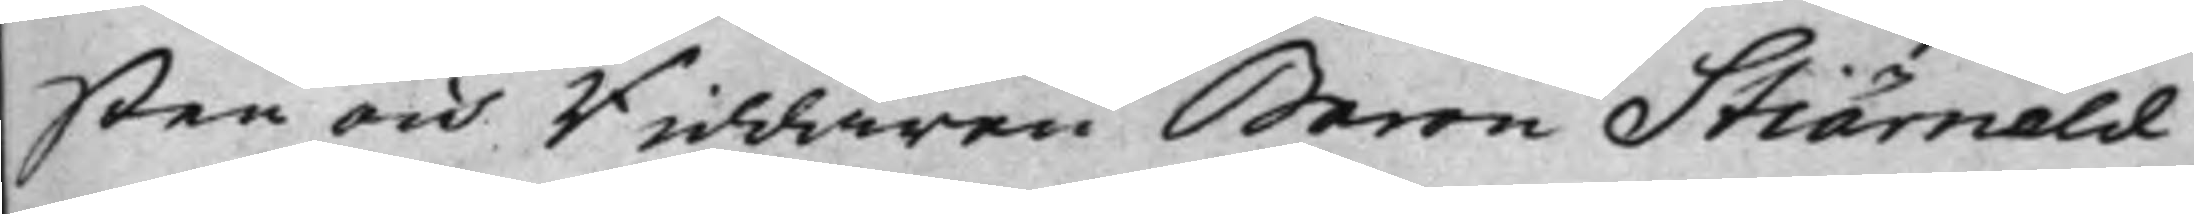sten och Riddaren Baron Stiärneld
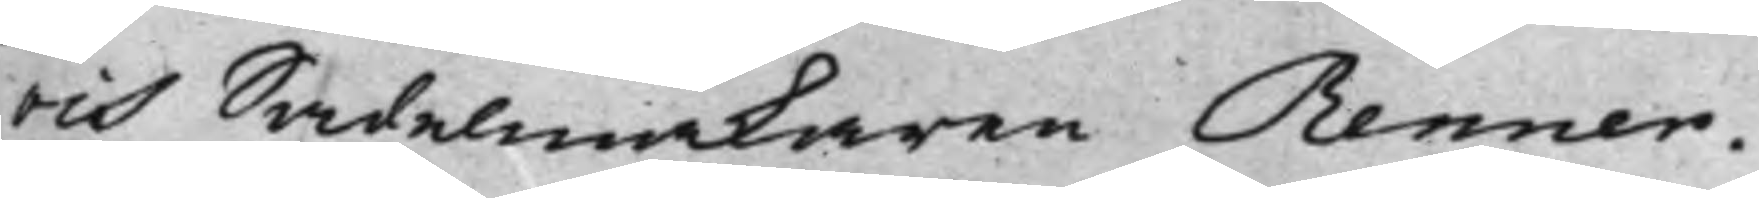och Sadelmakaren Renner.
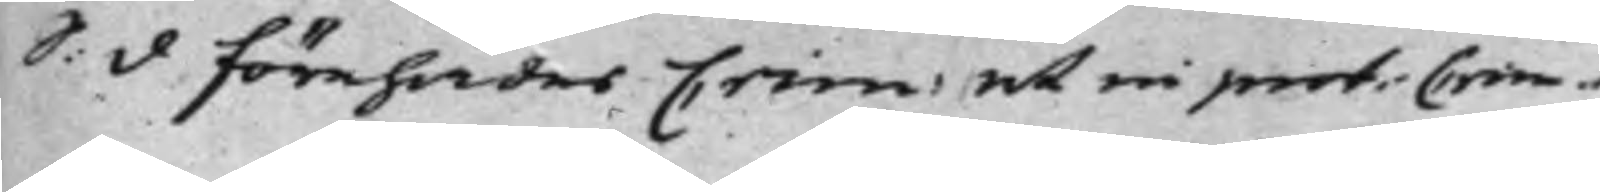S: d Förehades Crim ut in prot: Crim.
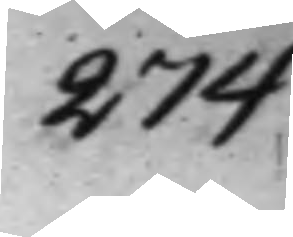274
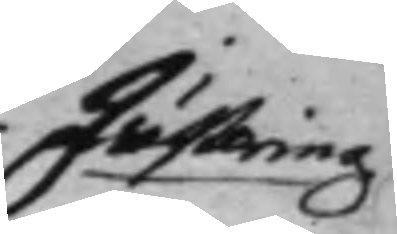Justering.
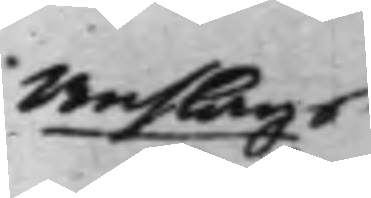Anslags
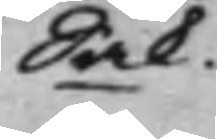Sak.
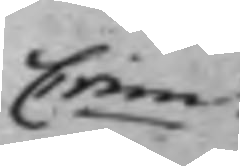Crim.
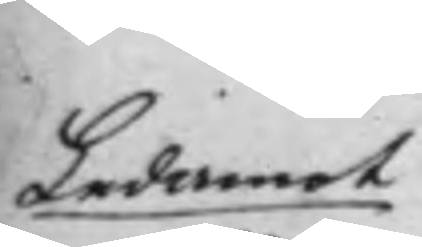Ledamot
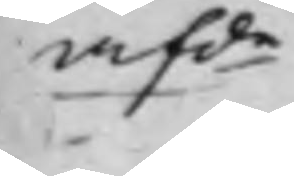afde
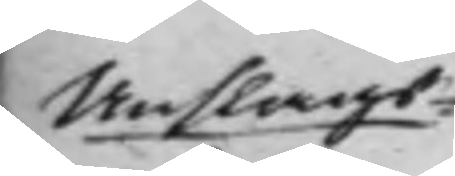Anslags¬
